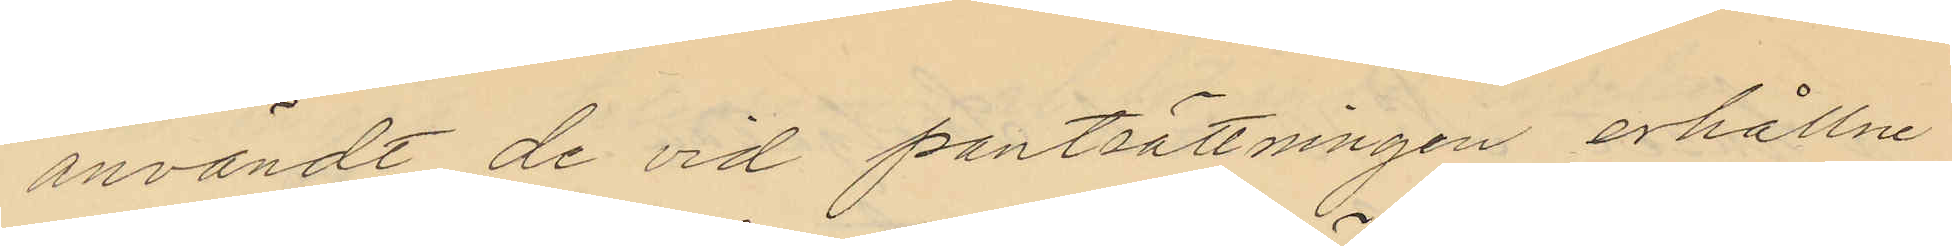användt de vid pantsättningen erhållne
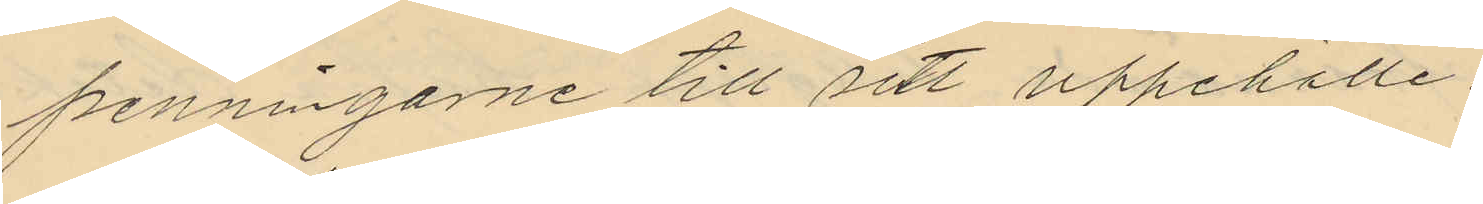penningarne till sitt uppehälle.
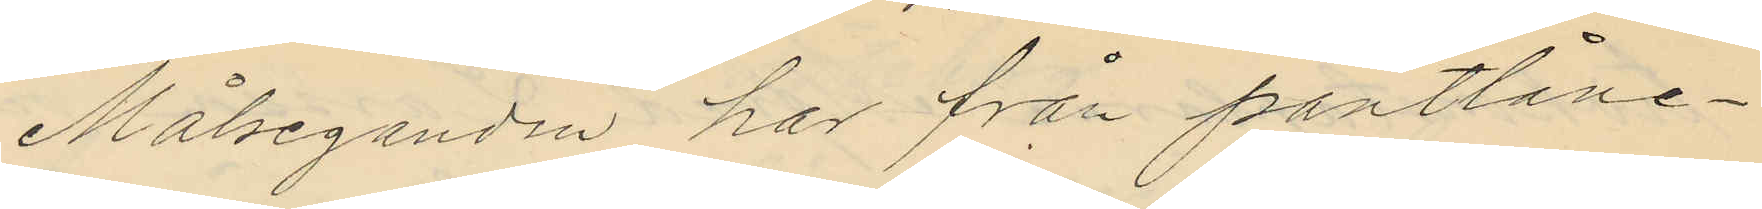Målseganden har från pantlåne¬
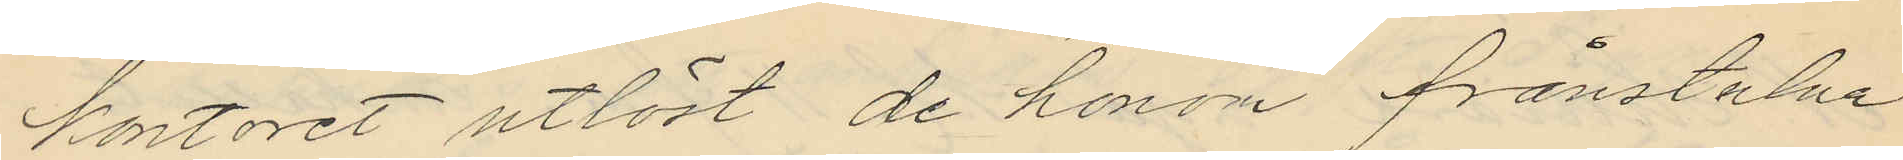kontoret utlöst de honom frånstulna
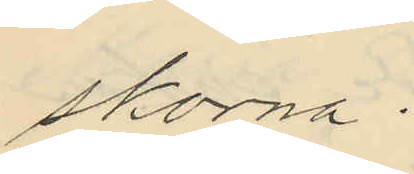skorna.
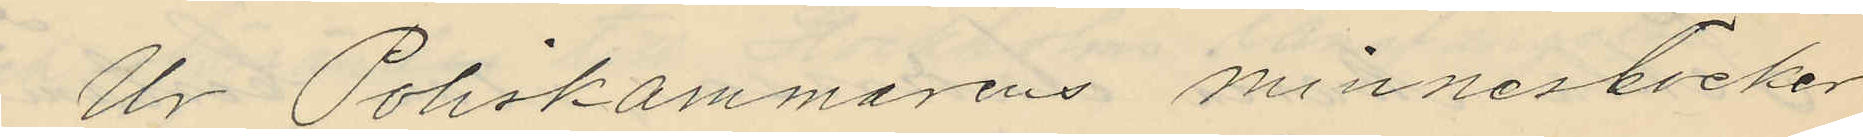Ur Poliskammarens minnesböcker
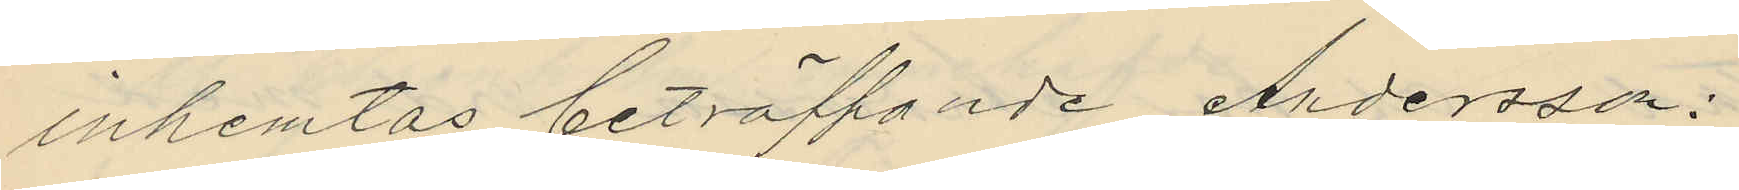inhemtas beträffande Andersson:
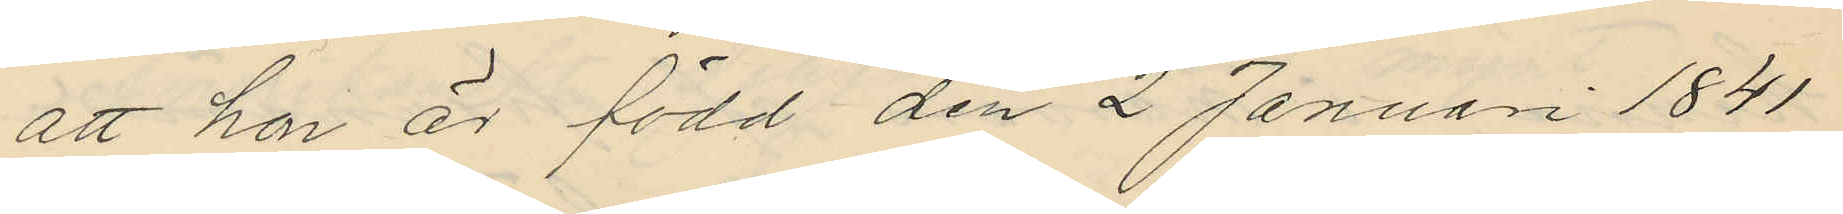att hon är född den 2 Januari 1841
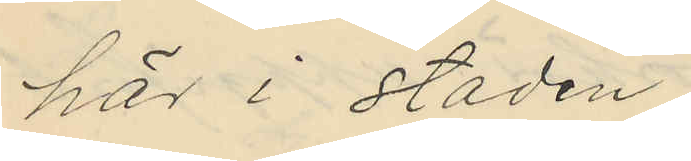här i staden;
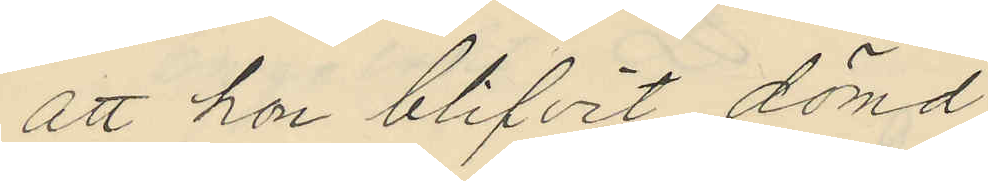att hon blifvit dömd
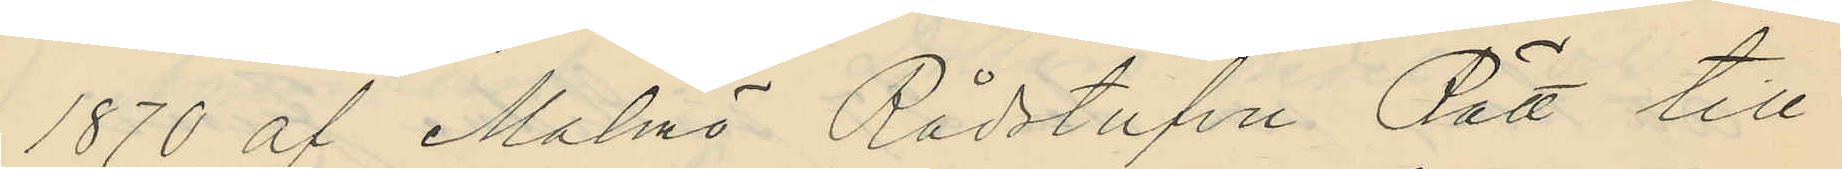1870 af Malmö Rådstufvu Rätt till
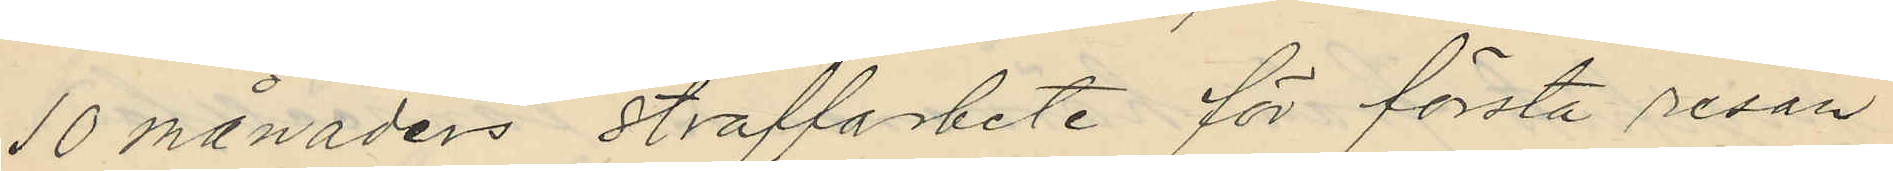10 månaders straffarbete för första resan
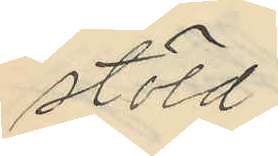stöld,
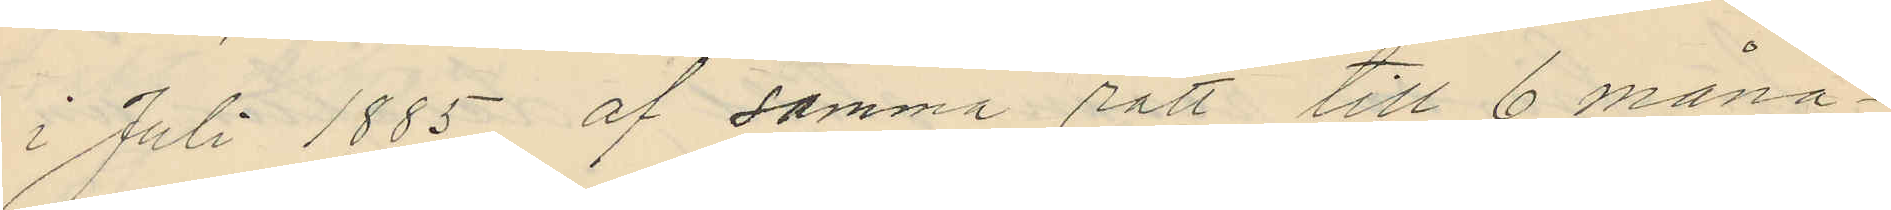i Juli 1885 af samma rätt till 6 måna¬
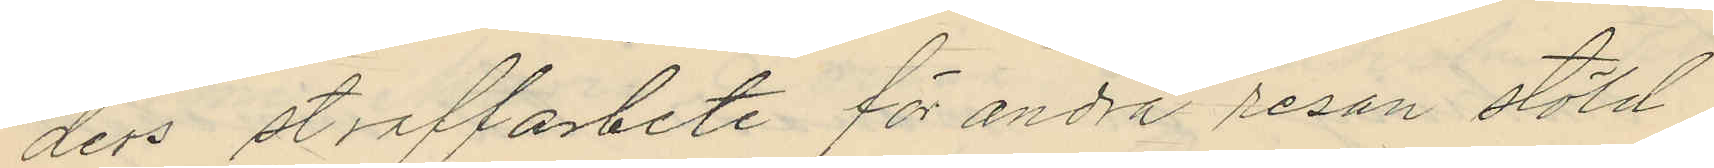ders straffarbete för andra resan stöld
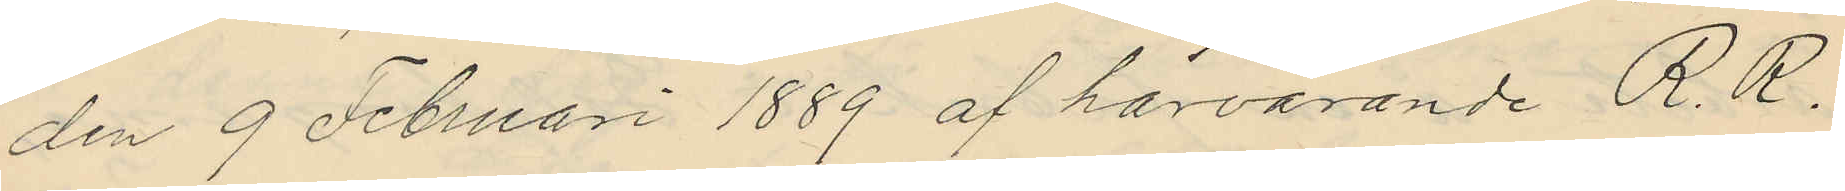den 9 Februari 1889 af härvarande R.R.
